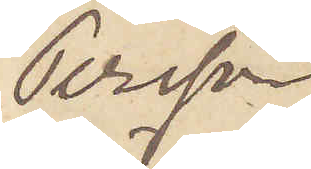Persson
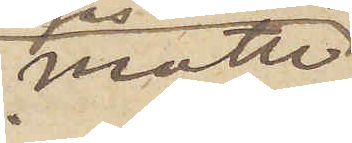måtte
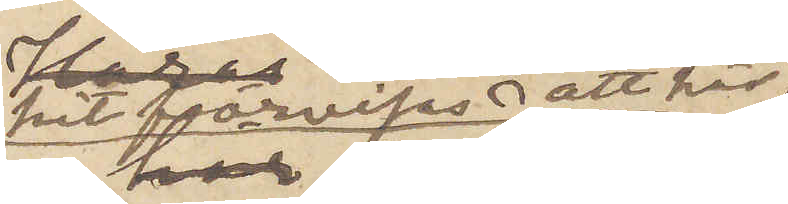hit förvisas att här 
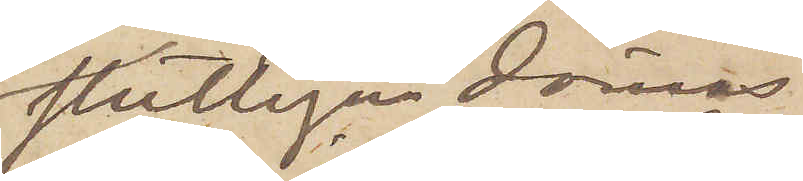slutligen dömas
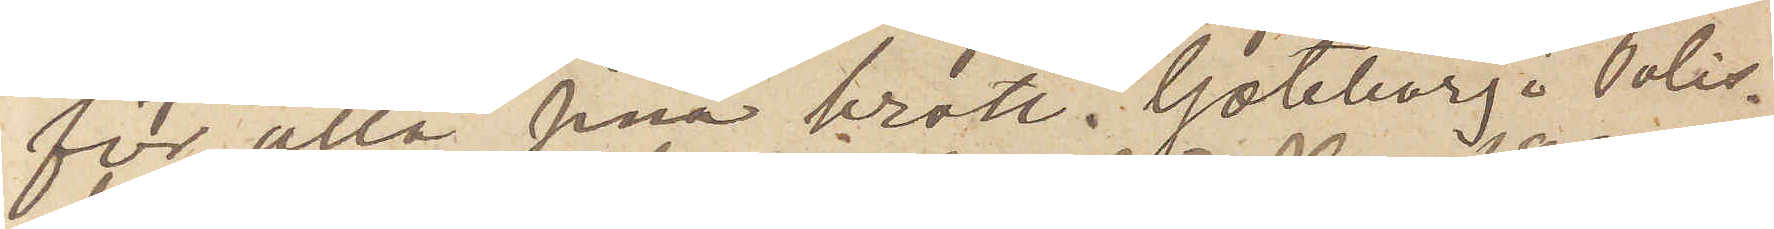för alla sina brott. Göteborg i Polis¬
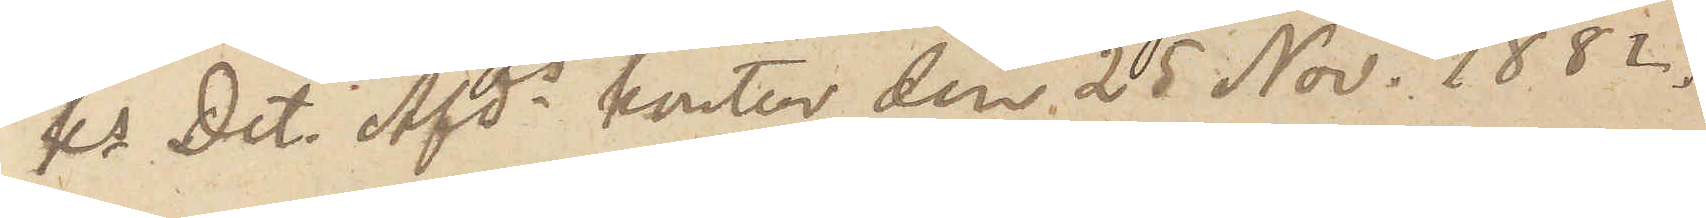ks Det. Afds kontor den 25 Nov. 1882.
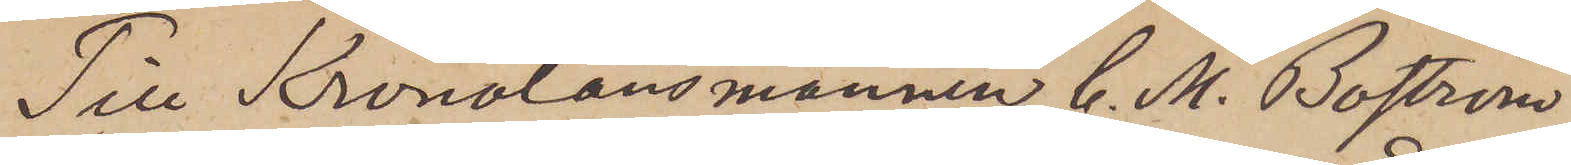Till Kronolänsmannen C. M. Boström
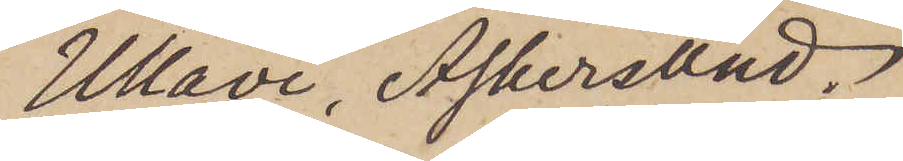Ullavi, Askersund.
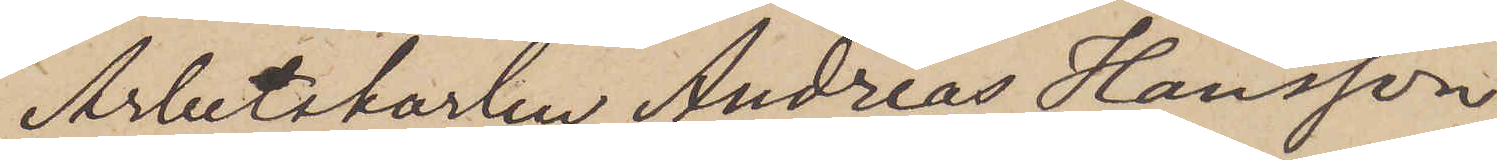Arbetskarlen Andreas Hansson,
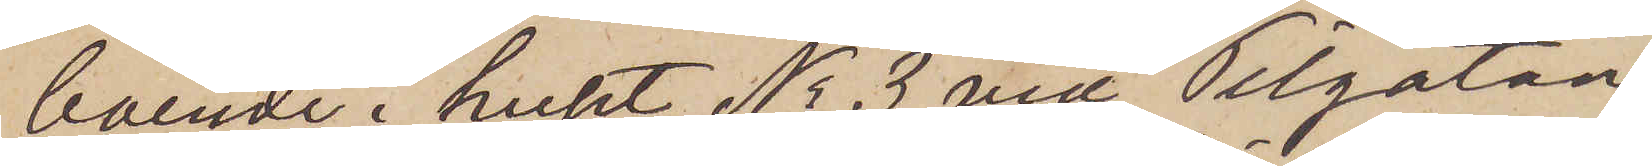boende i huset No 3 vid Pilgatan
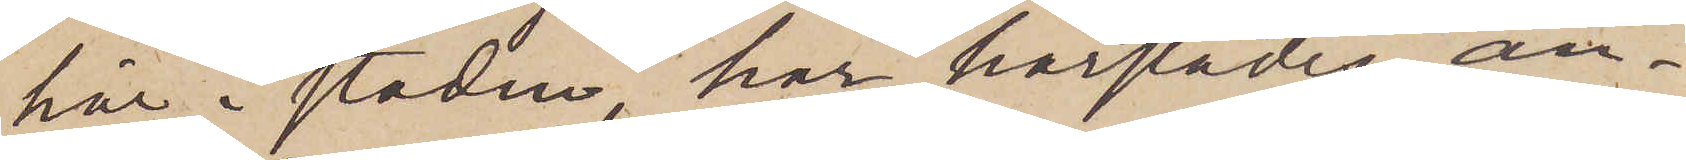här i staden, har härstädes an¬
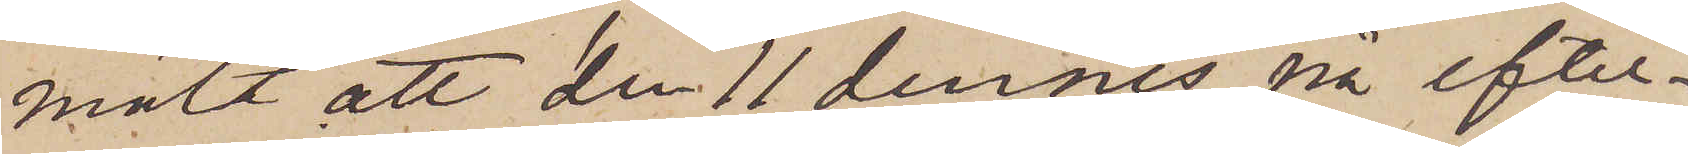mält att den 11 dennes på efter¬
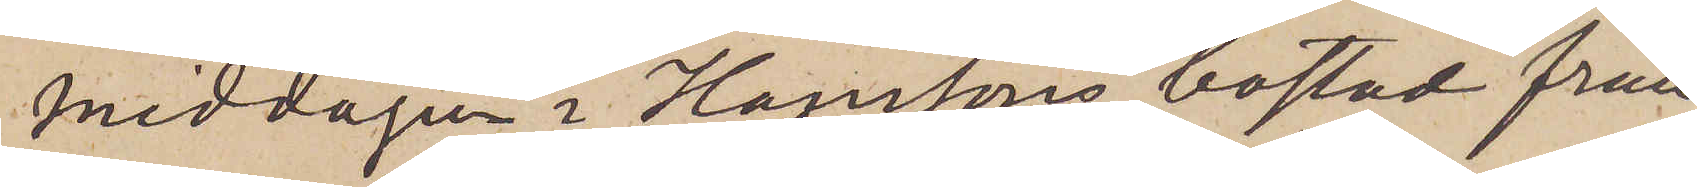middagen i Hanssons bostad från
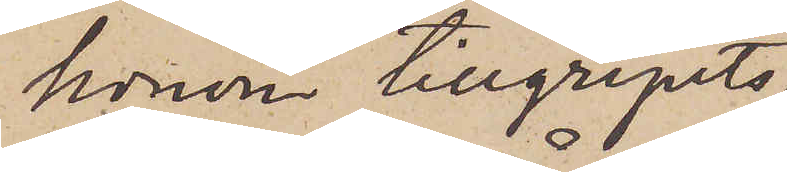honom tillgripits
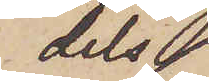dels
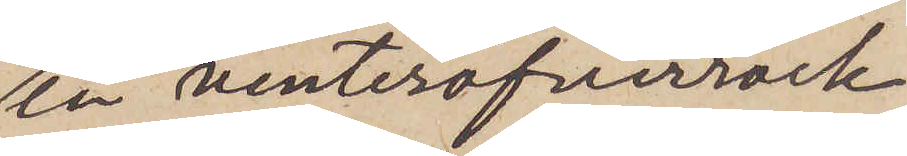en vinteröfverrock
